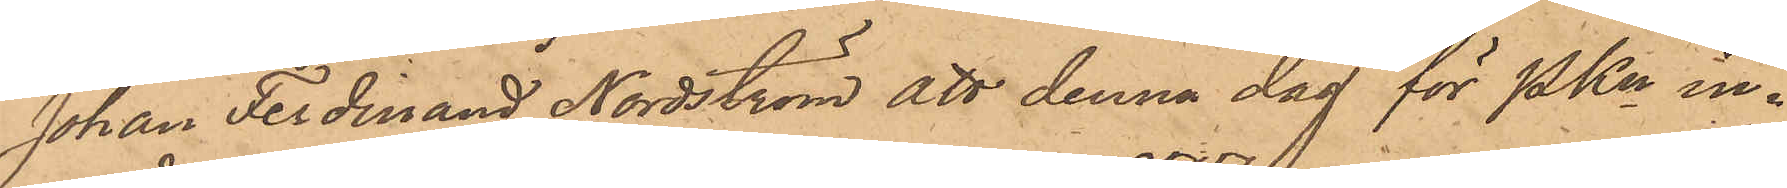Johan Ferdinand Nordström att denna dag för PKn in¬
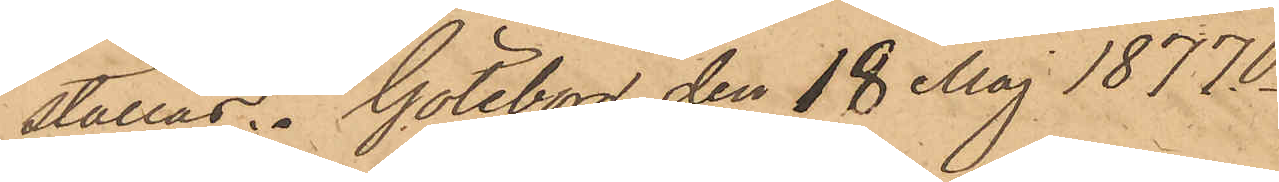ställas. Göteborg den 18 Maj 1877.
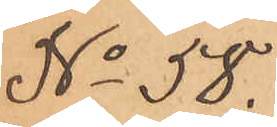No 58.
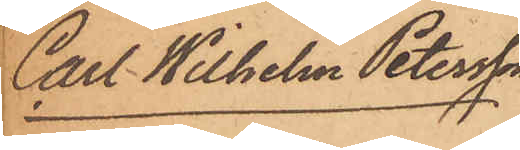Carl Wilhelm Petersson
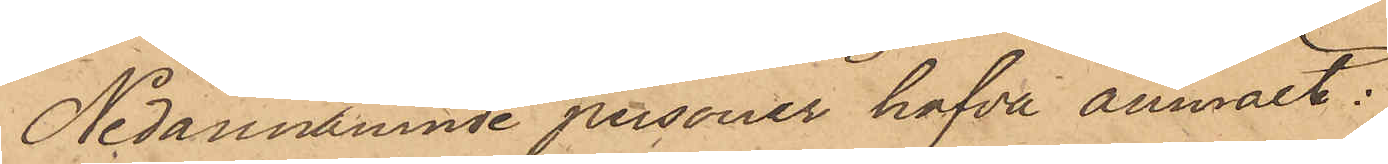Nedannämnde personer hafva anmält:
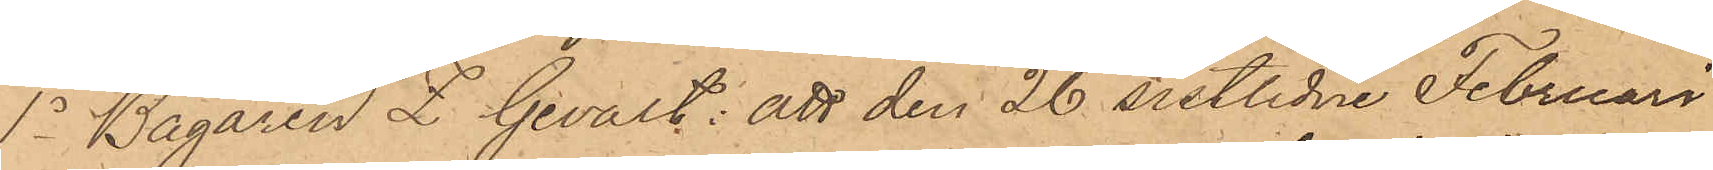1o Bagaren L. Gevalt: att den 26 sistlidne Februari
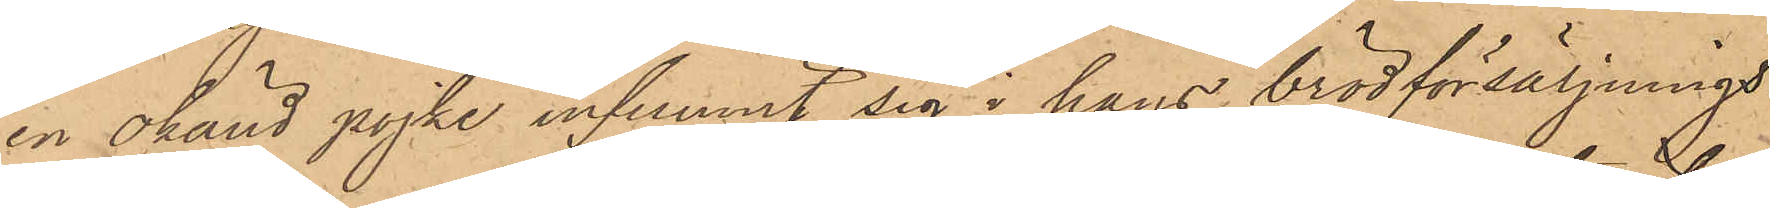en okänd pojke infunnit sig i hans brödförsäljnings¬
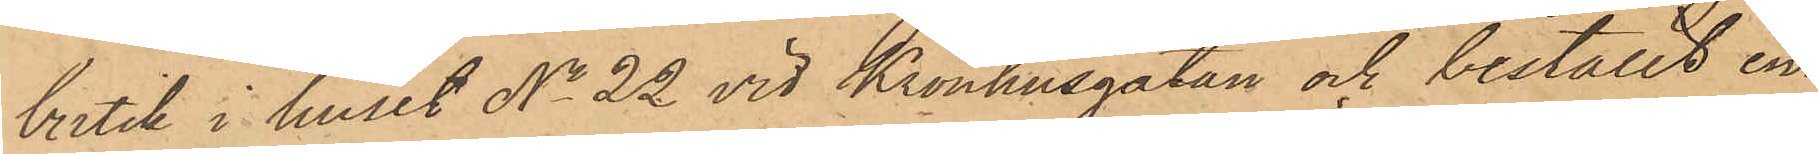butik i huset No 22 vid Kronhusgatan och beställt en¬
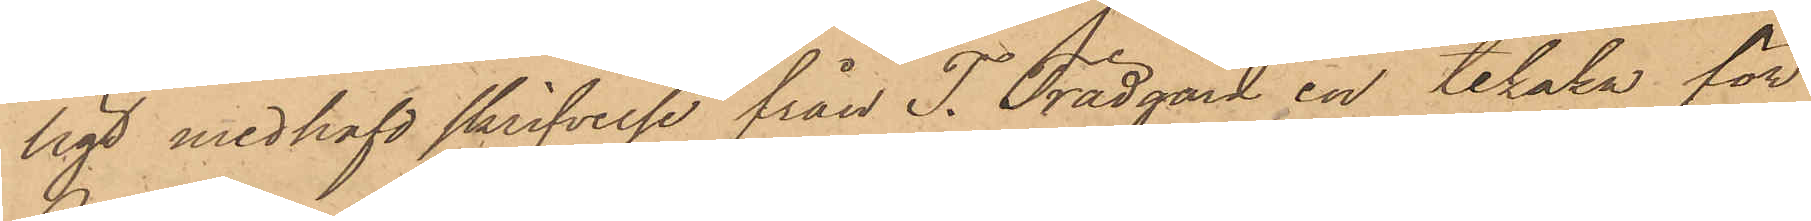ligt medhafd skrifvelse från T. Trädgård en tekaka för
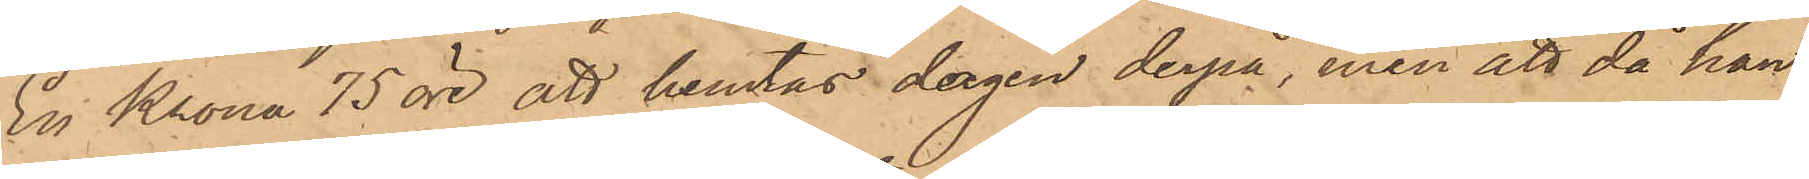En Krona 75 öre, att hemtas dagen derpå, men att då han
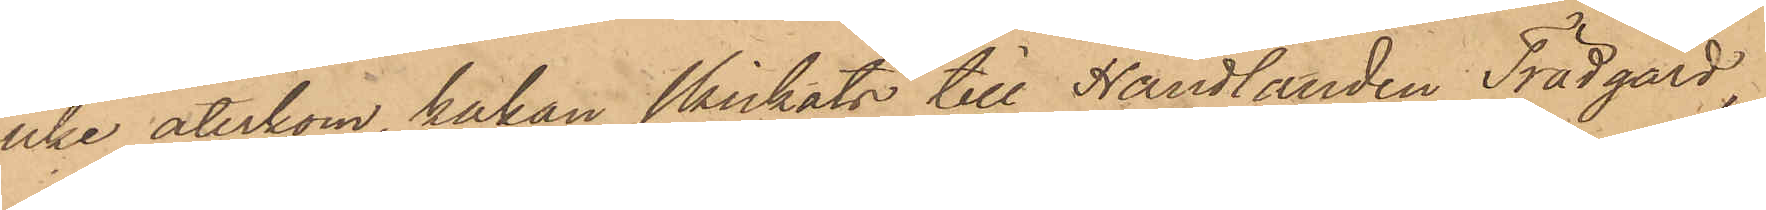icke återkom, kakan skickats till Handlanden Trädgård
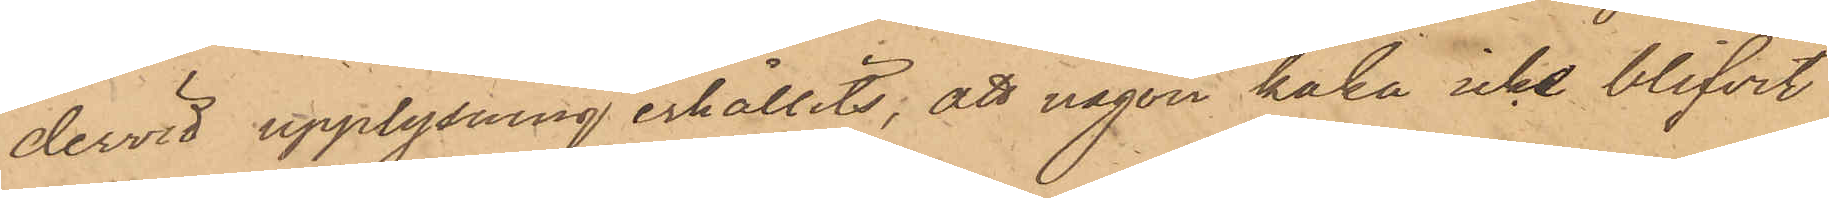dervid upplysning erhållits; att någon kaka icke blifvit
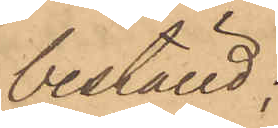beställd;
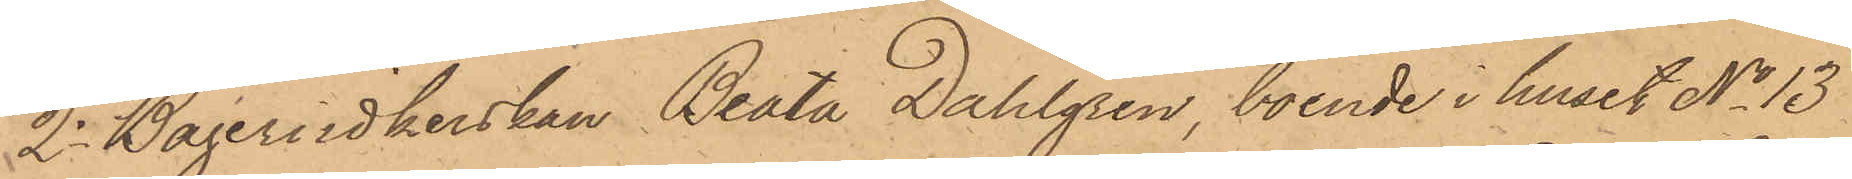2o Bageriidkerskan Beata Dahlgren, boende i huset No 13
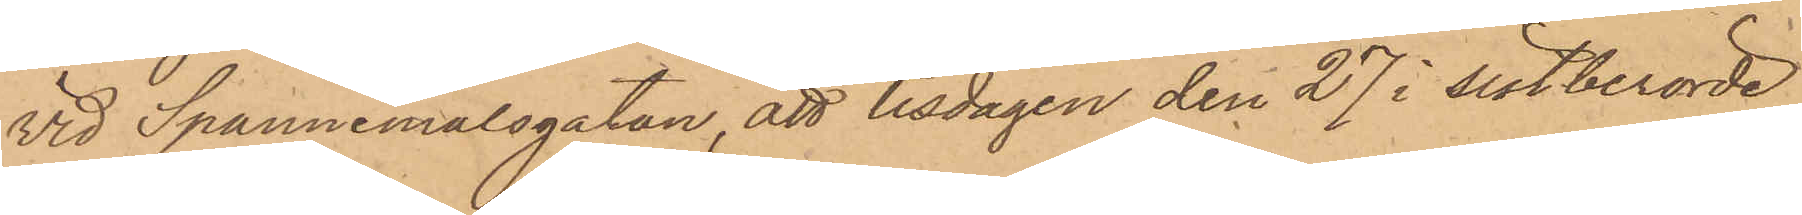vid Spannmålsgatan, att tisdagen den 27 i sistberörde
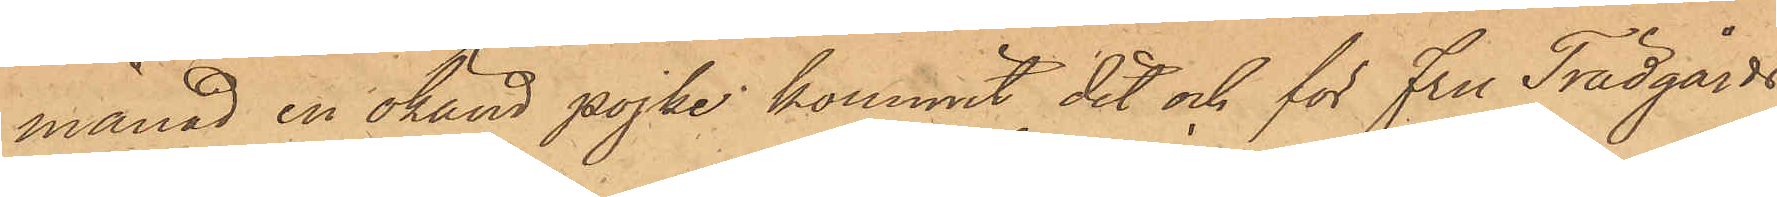månad en okänd pojke kommit dit och för fru Trädgårds
